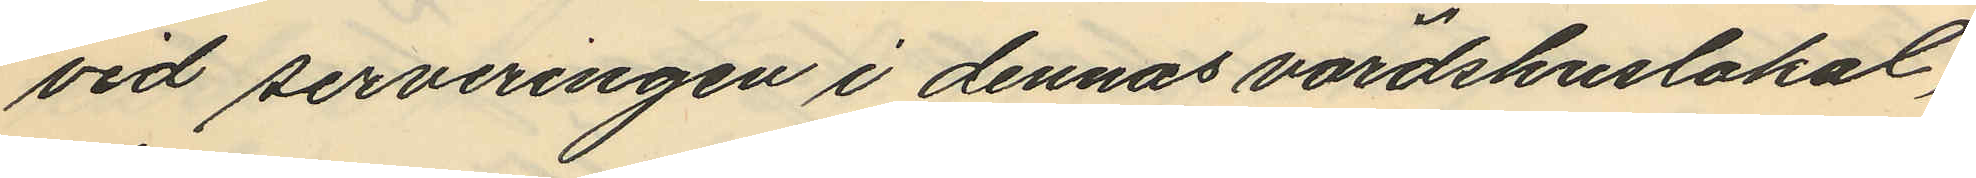vid serveringen i dennas värdshuslokal,
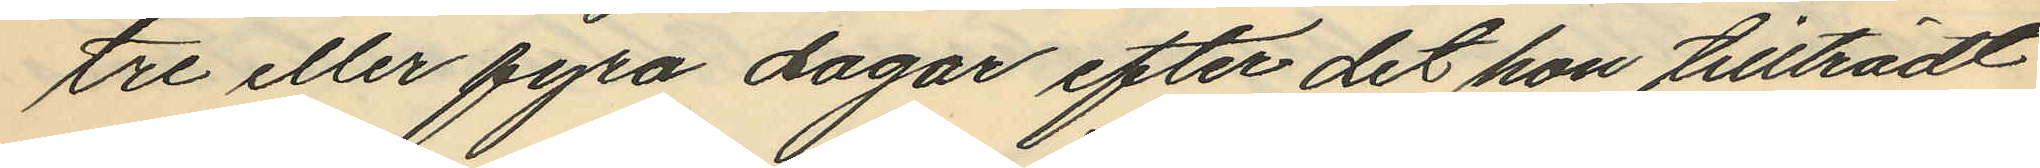tre eller fyra dagar efter det hon tillträdt
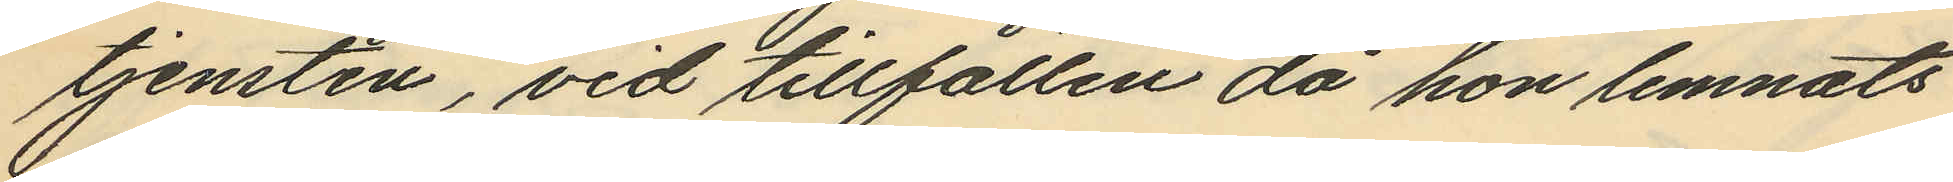tjensten, vid tillfällen då hon lemnats
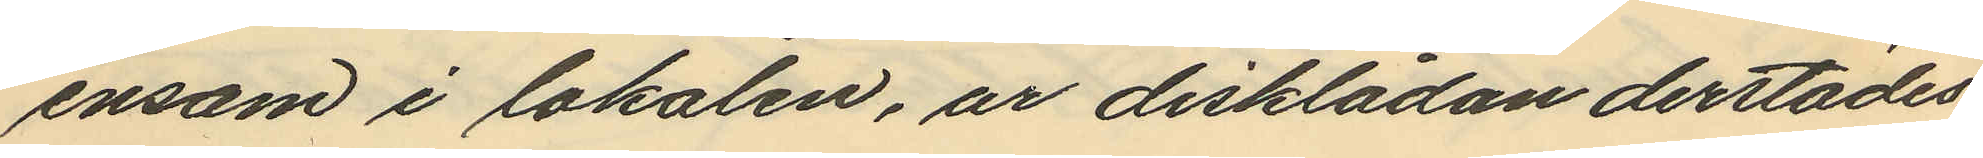ensam i lokalen, ur disklådan derstädes
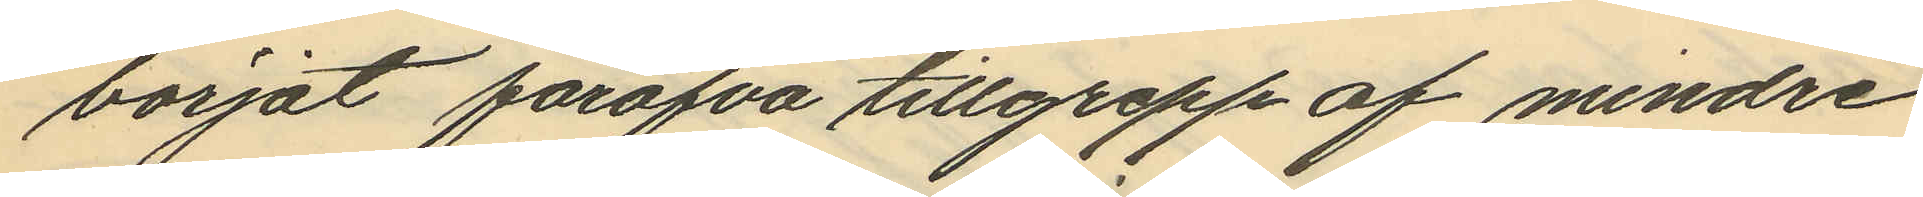börjat föröfva tillgrepp af mindre
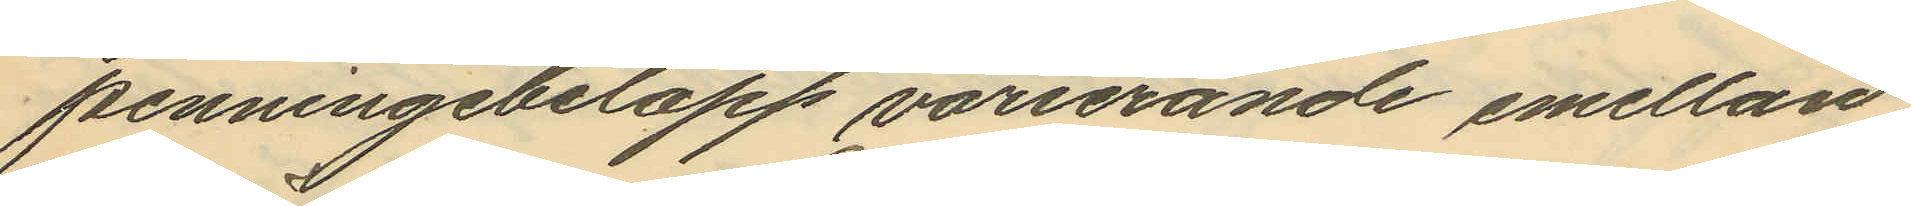penningebelopp varierande emellan
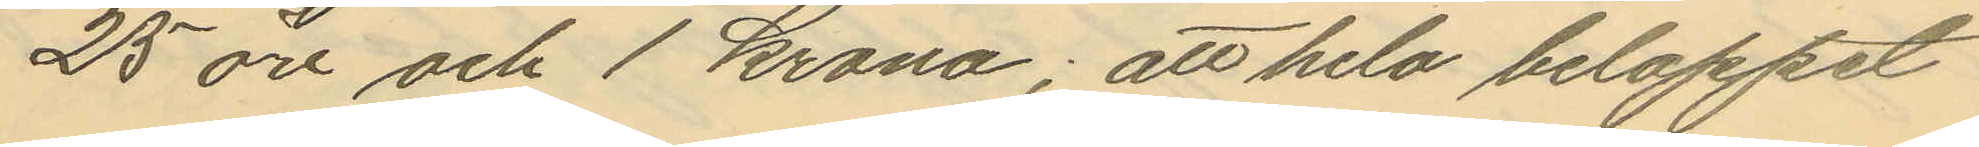25 öre och 1 krona; att hela beloppet
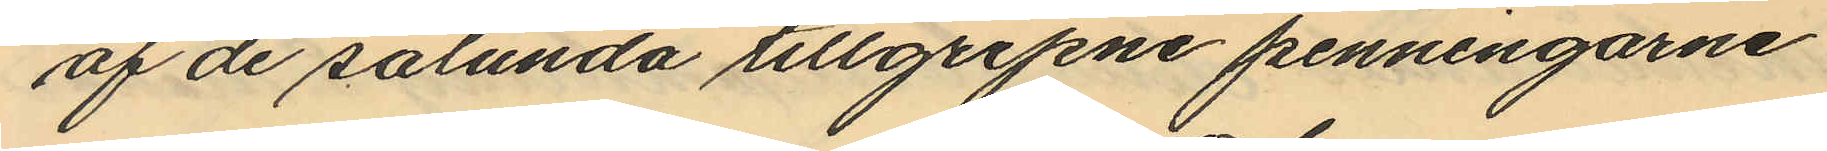af de sålunda tillgripne penningarne
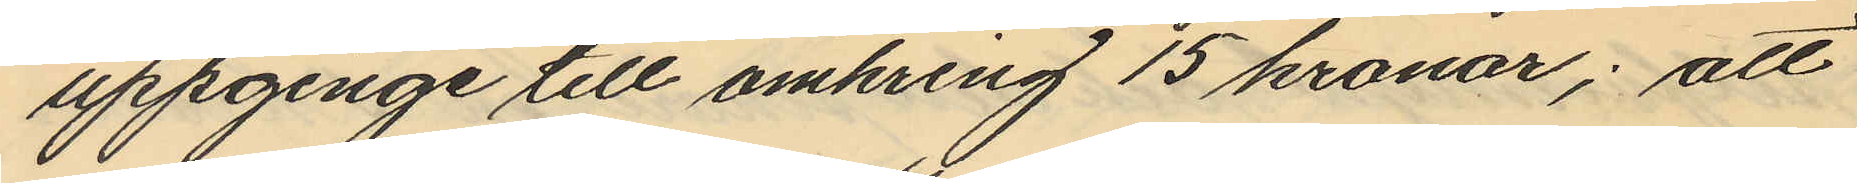uppginge till omkring 15 kronor; att
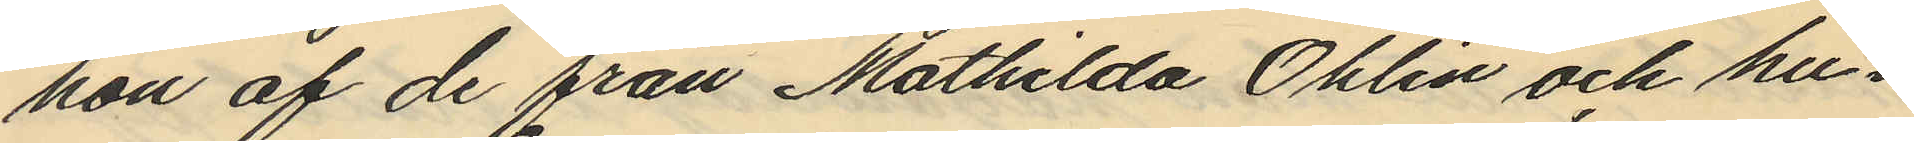hon af de från Mathilda Öhlin och hu¬
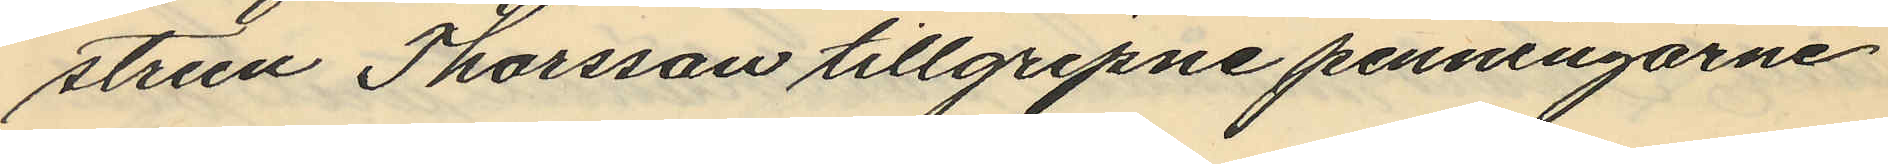strun Thorsson tillgripne penningarne
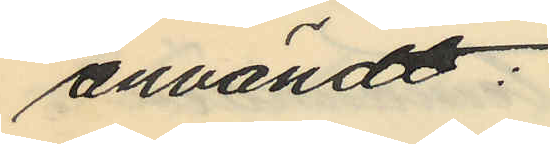användt:
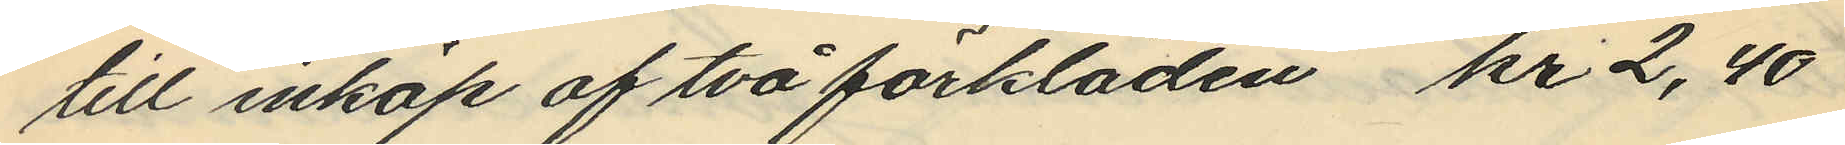till inköp af två förkläden kr 2,40
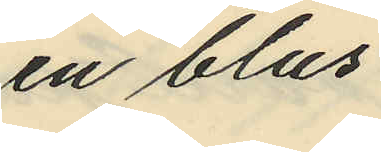en blus
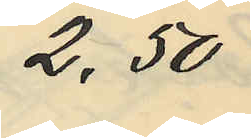2,50
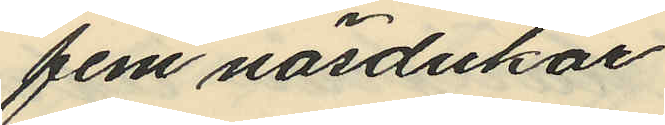fem näsdukar
